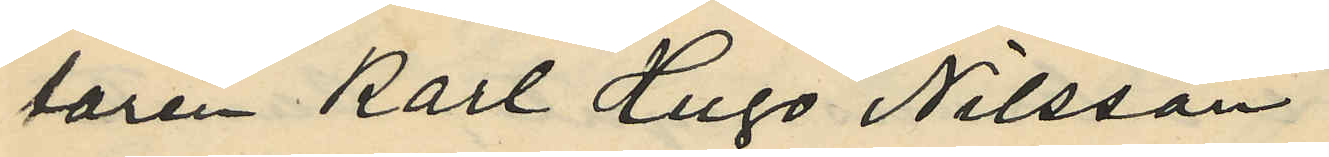taren Karl Hugo Nilsson.
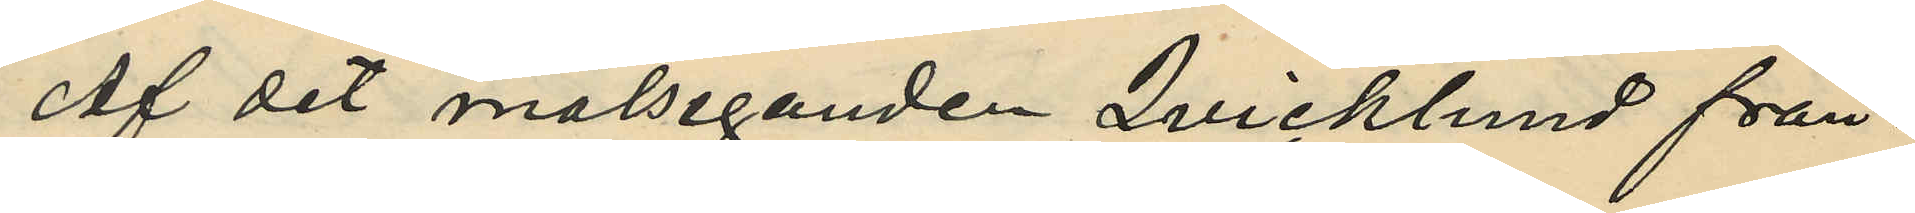Af det målseganden Qvicklund från¬
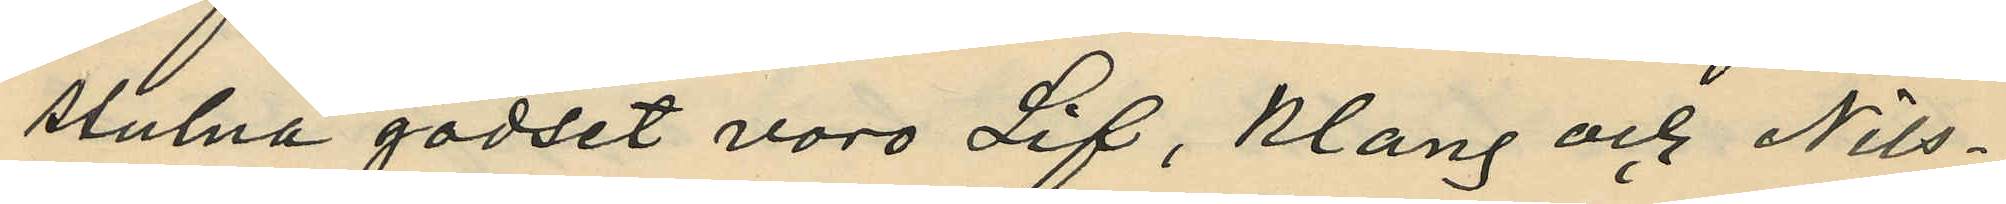stulna godset voro Lif, Klang och Nils¬
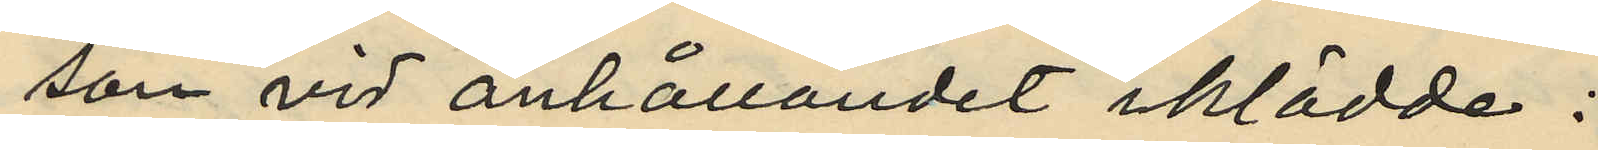son vid anhållandet iklädde:
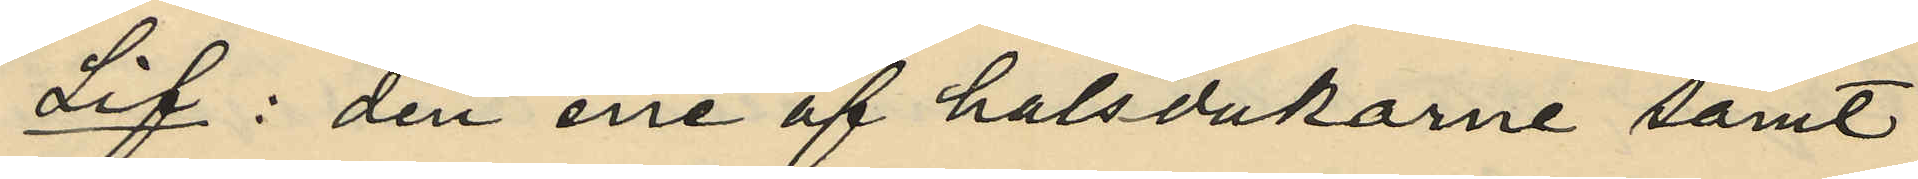Lif: den ene af halsdukarne samt
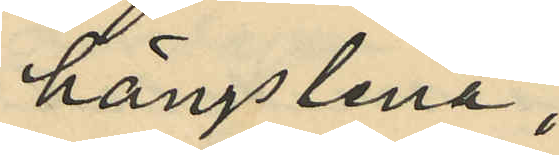hängslena;
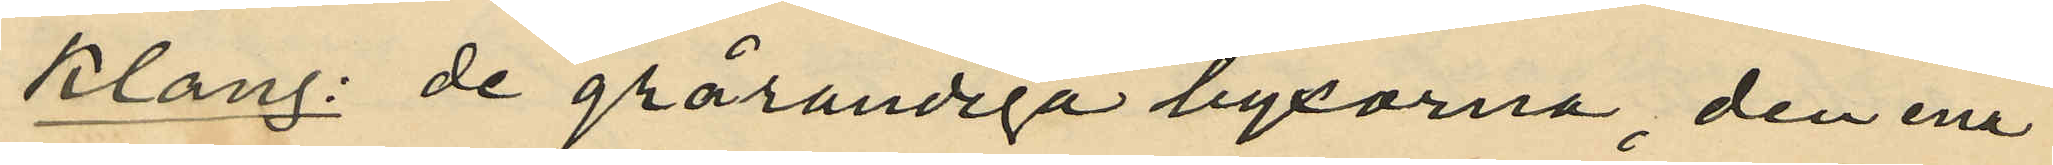Klang: de grårandiga byxorna, den ena
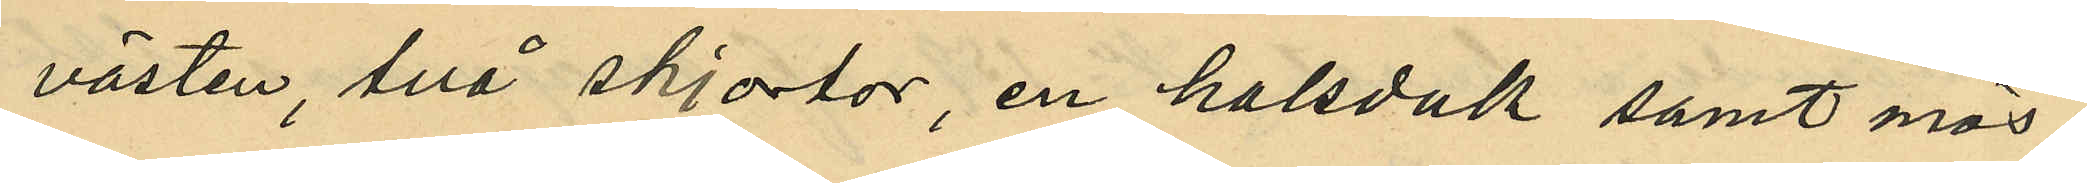västen, två skjortor, en halsduk samt mös¬
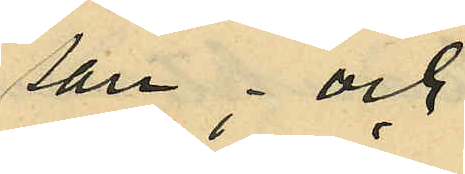san; och
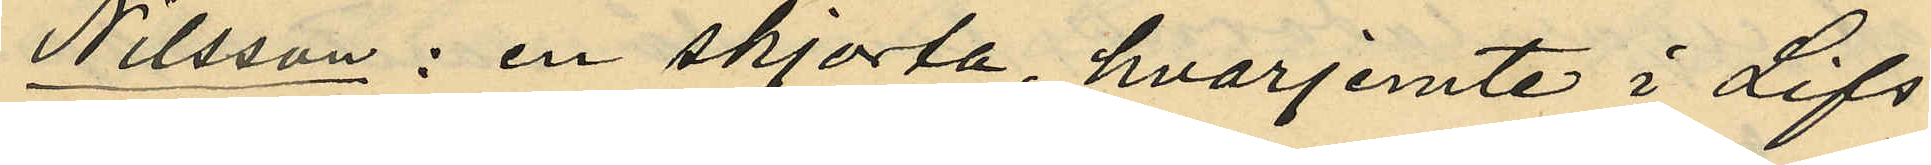Nilsson : en skjorta, hvarjemte i Lifs
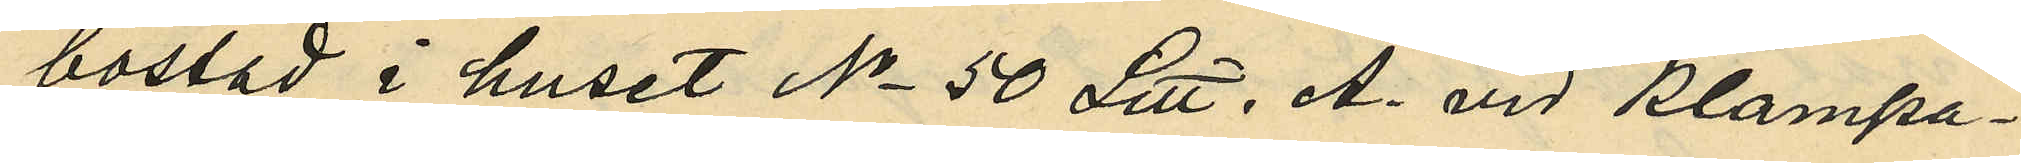bostad i huset No 50 Litt. A. vid Klampa¬
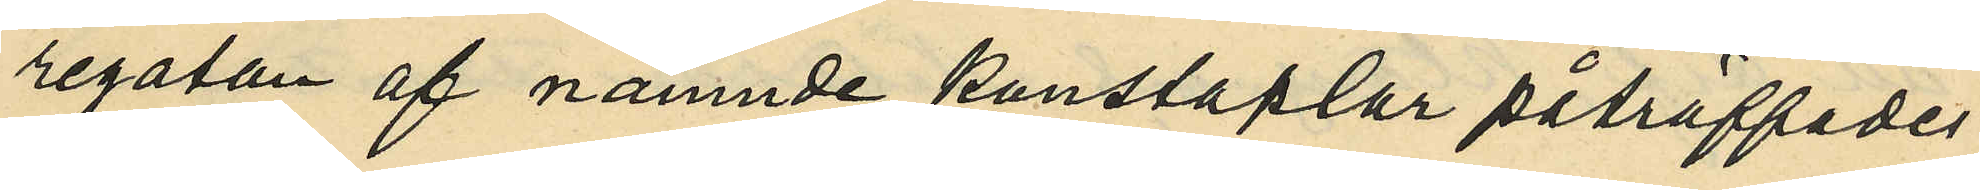regatan af nämnde konstaplar påträffades
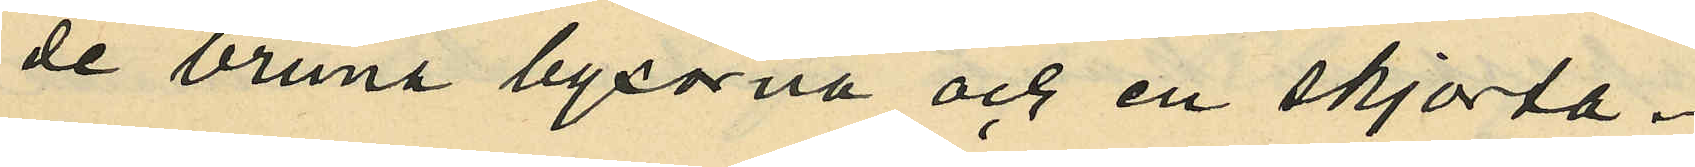de bruna byxorna och en skjorta.
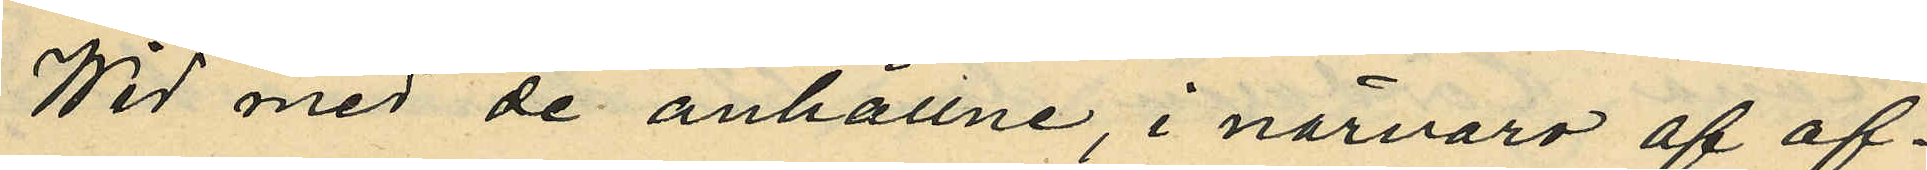Wid med de anhållne, i närvaro af of¬
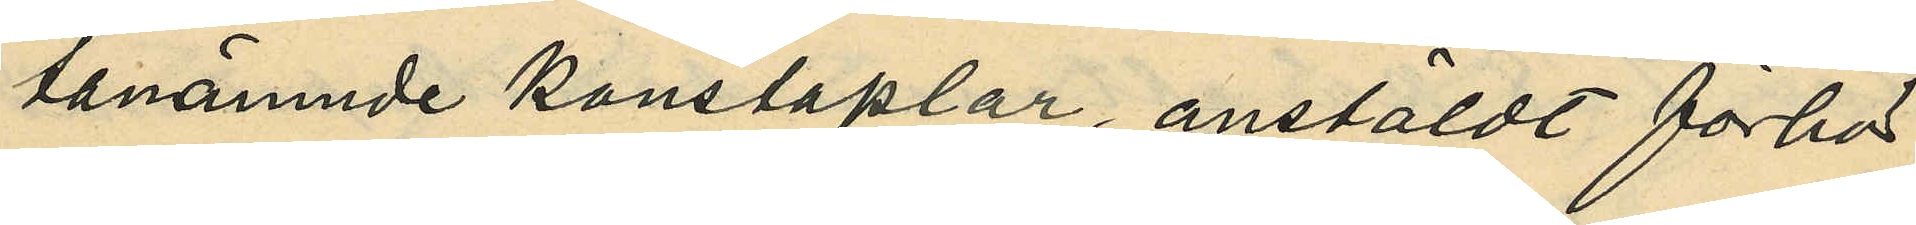tanämnde konstaplar, anstäldt förhör
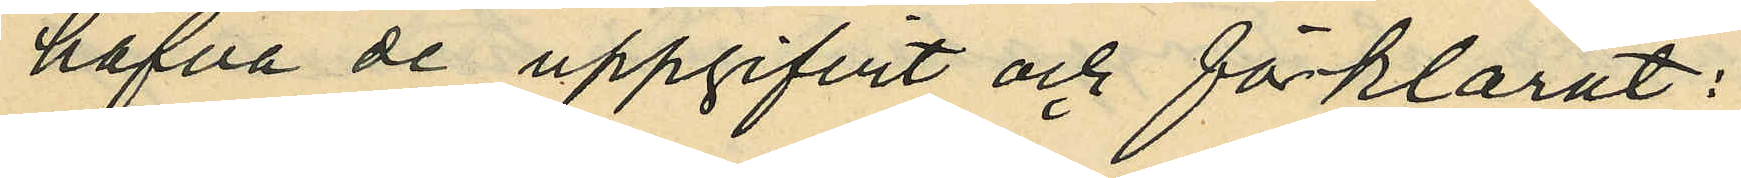hafva de uppgifvit och förklarat:
